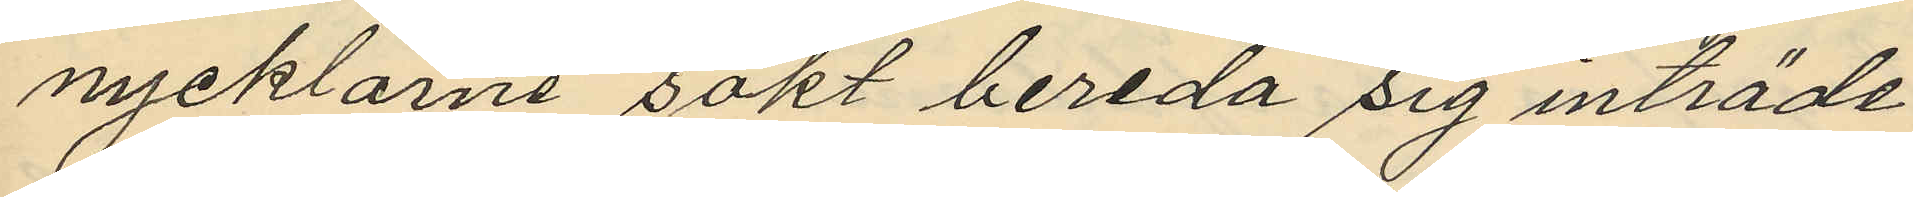nycklarne sökt bereda sig inträde
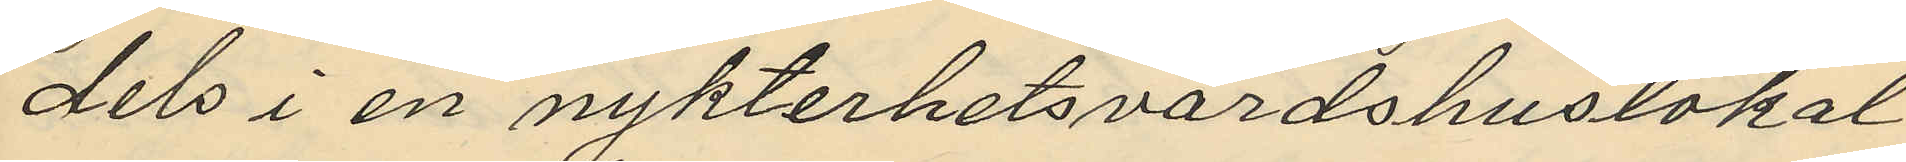dels i en nykterhetsvärdshuslokal
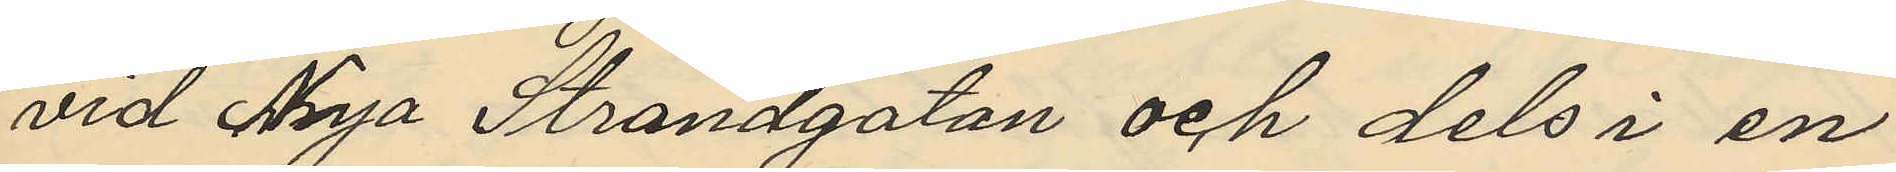vid Nya Strandgatan och dels i en
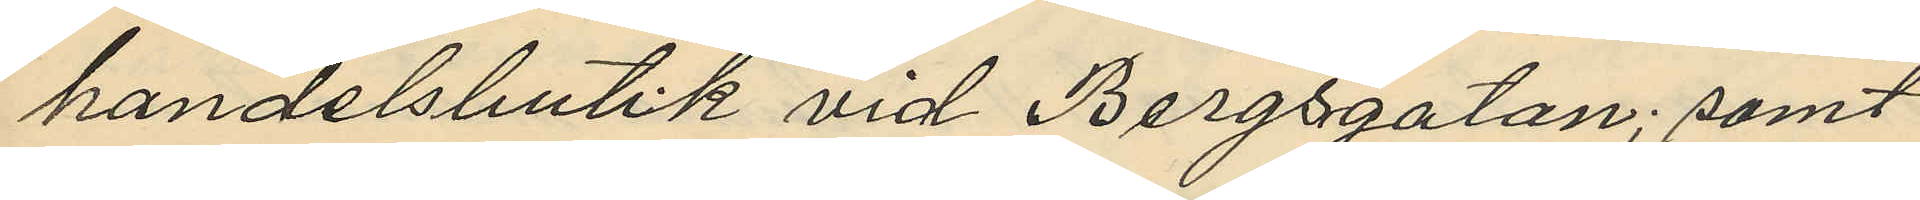handelsbutik vid Bergsgatan; samt
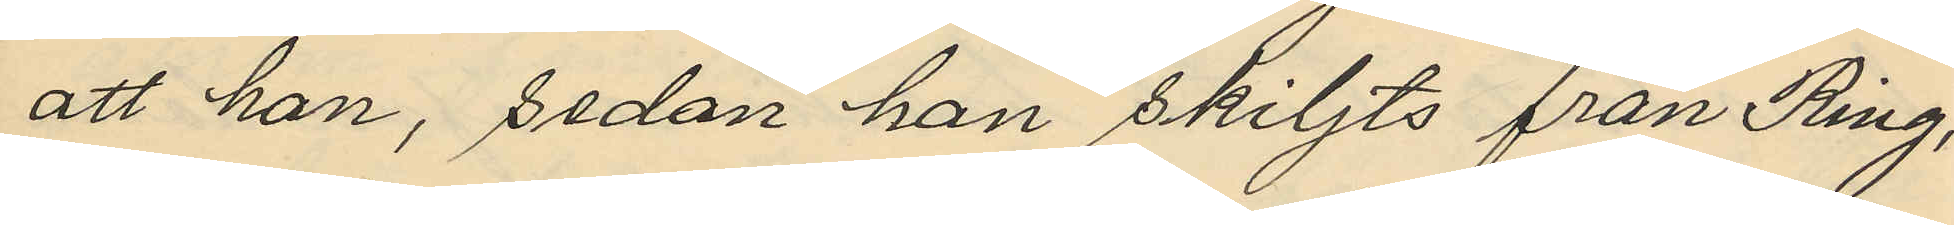att han, sedan han skiljts från Ring,
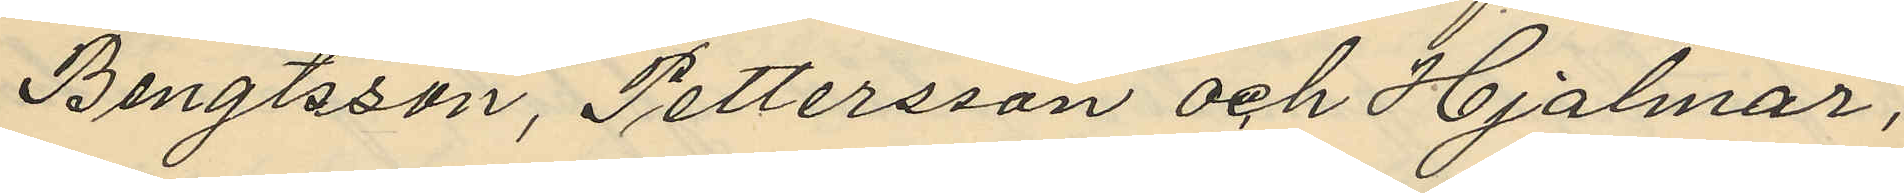Bengtsson, Pettersson och Hjalmar,
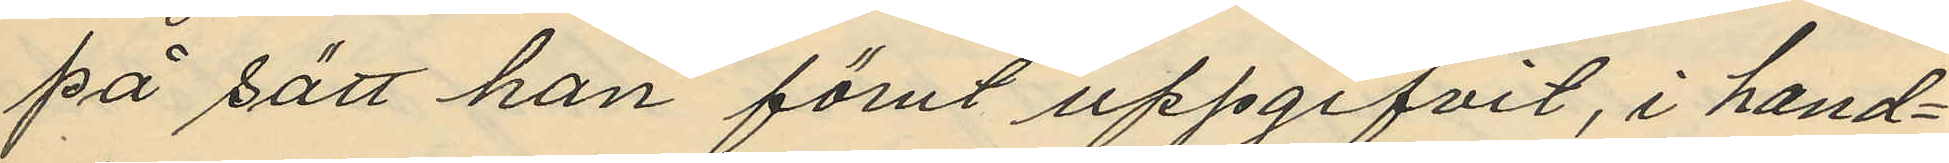på sätt han förut uppgifvit, i hand¬
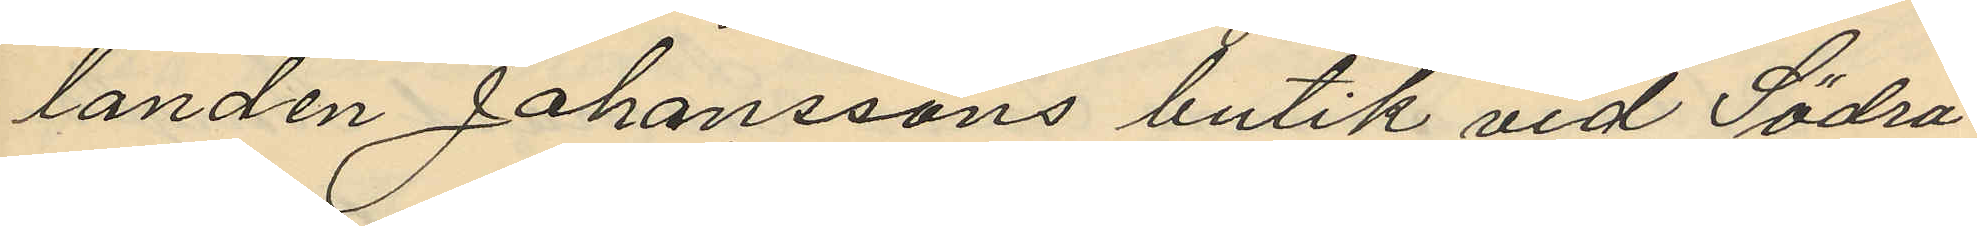landen Johanssons butik vid Södra
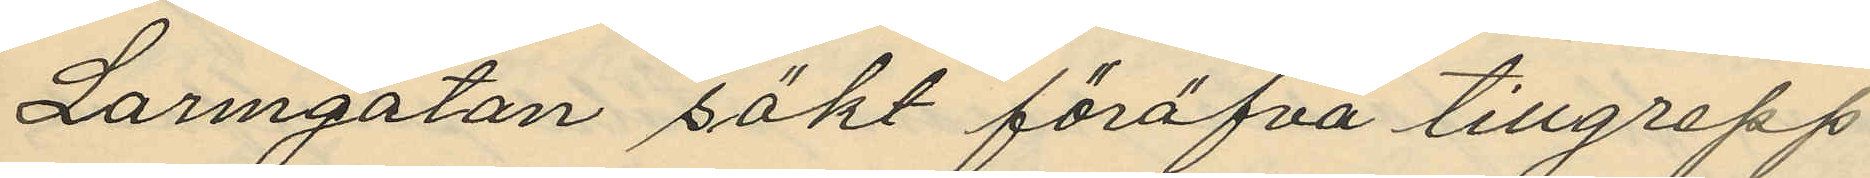Larmgatan sökt föröfva tillgrepp
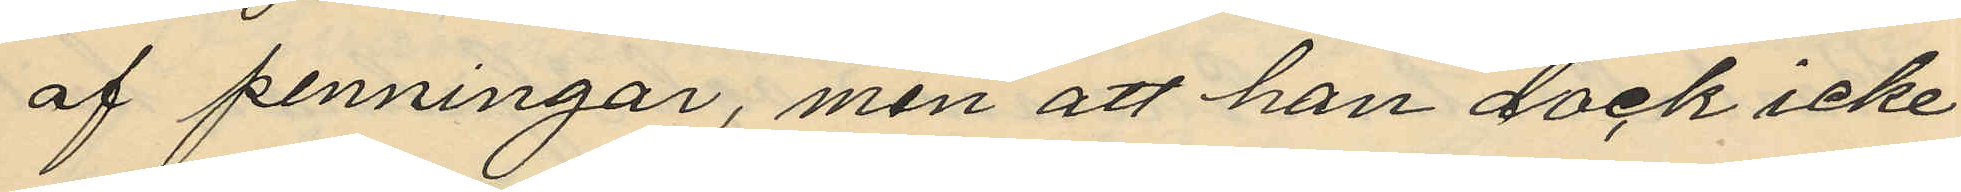af penningar, men att han dock icke
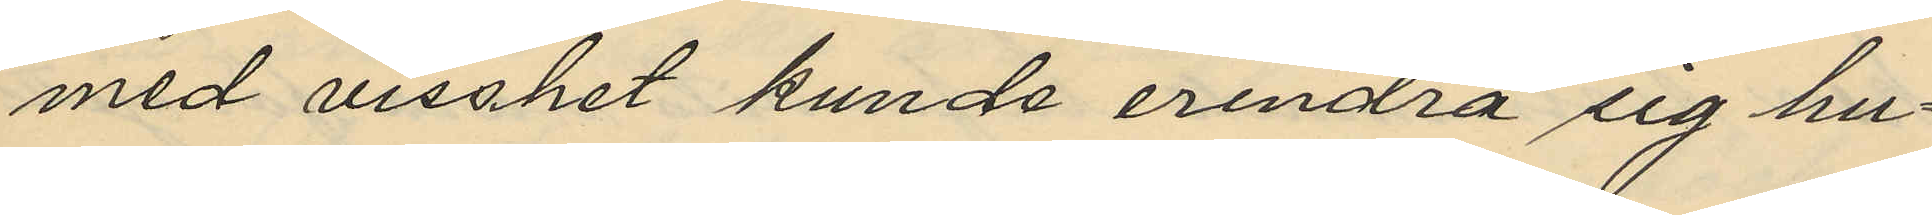med visshet kunde erindra sig hu¬
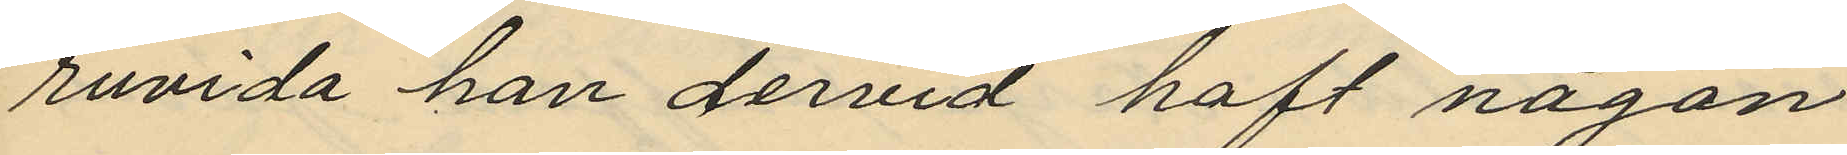ruvida han dervid haft någon
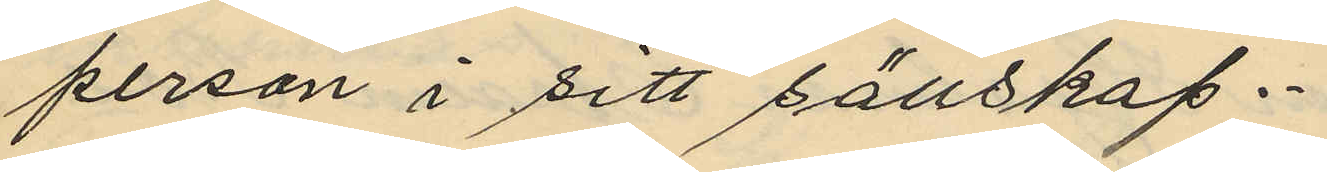person i sitt sällskap.
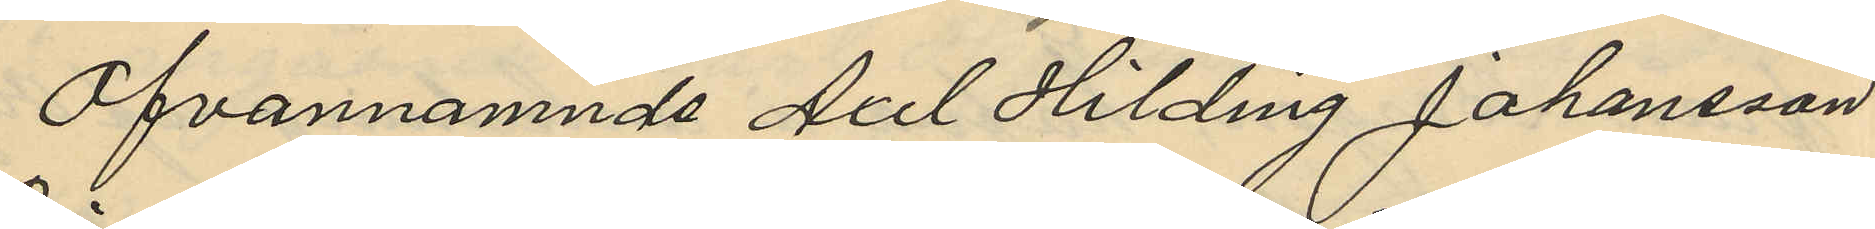Ofvannämnde Axel Hilding Johansson
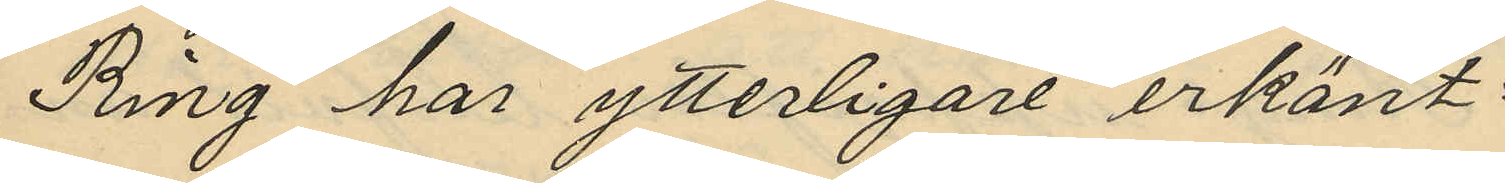Ring har ytterligare erkänt:
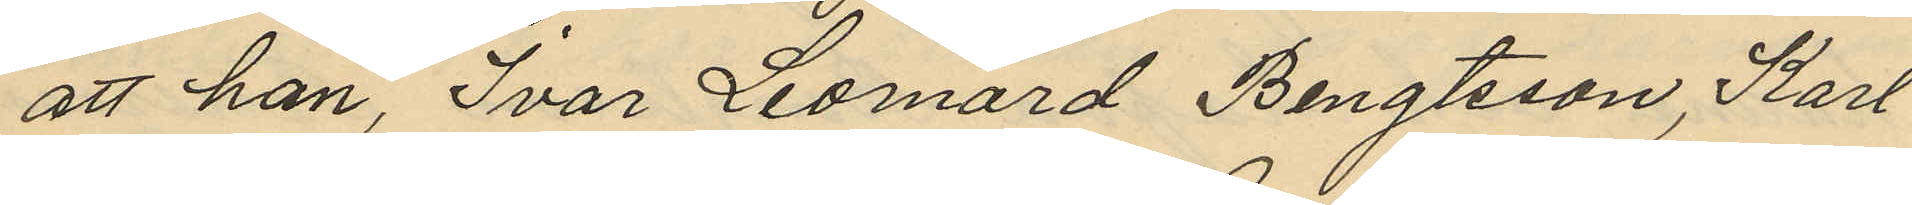att han, Ivar Leornard Bengtsson, Karl
